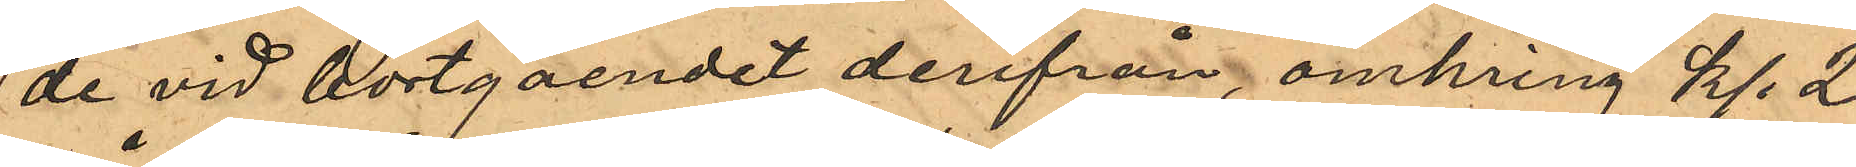de vid bortgåendet derifrån, omkring kl. 2
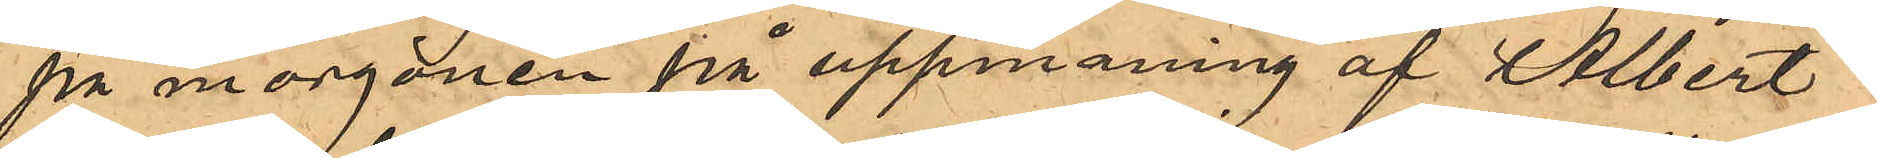på morgonen på uppmaning af Albert
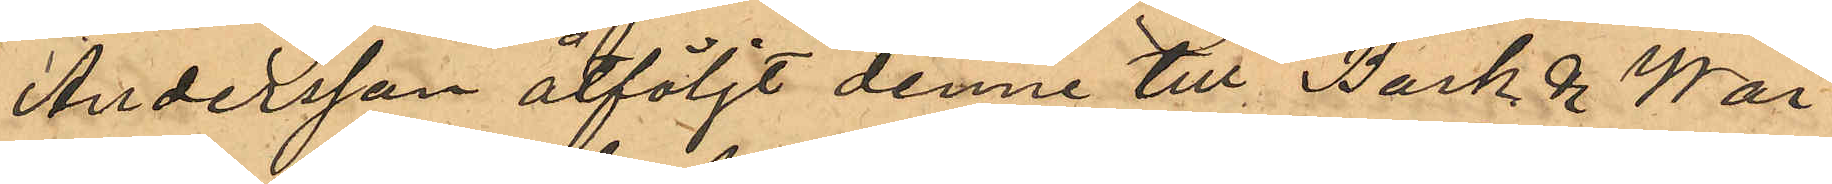Andersson åtföljt denne till Bark & War¬
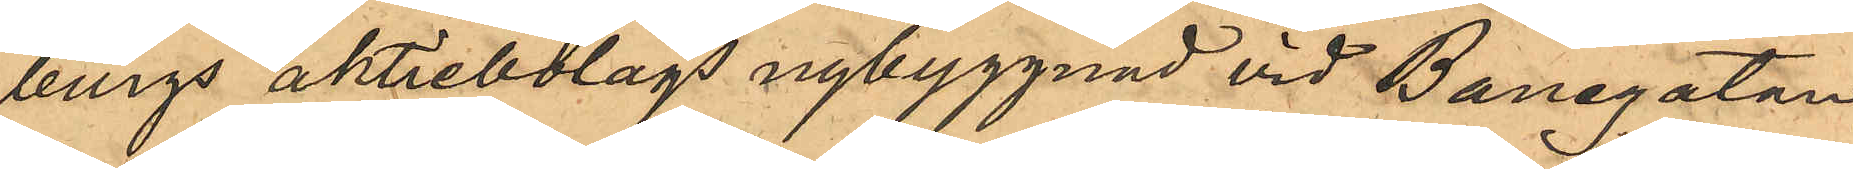burgs aktiebolags nybyggnad vid Banegatan,
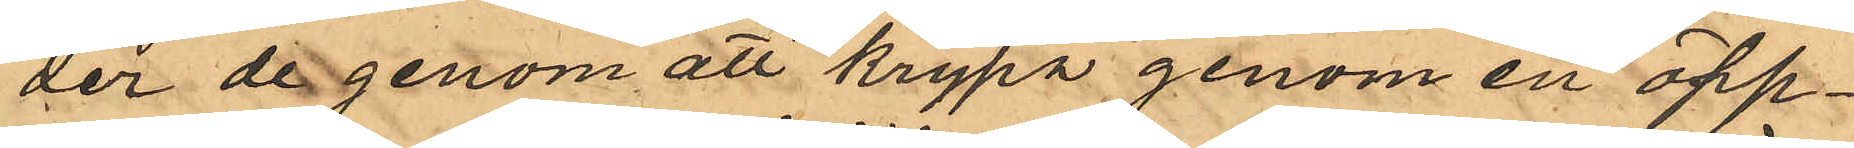der de genom att krypa genom en öpp¬
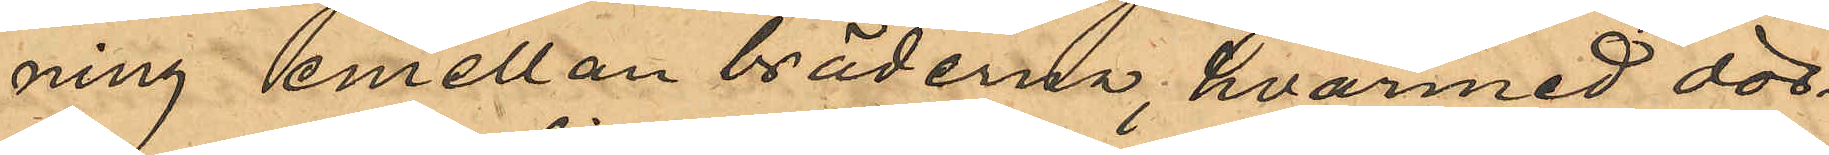ning emellan bräderna, hvarmed dör¬
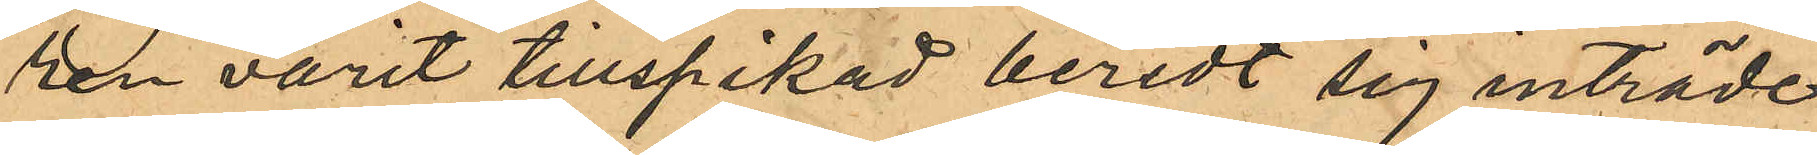ren varit tillspikad beredt sig inträde
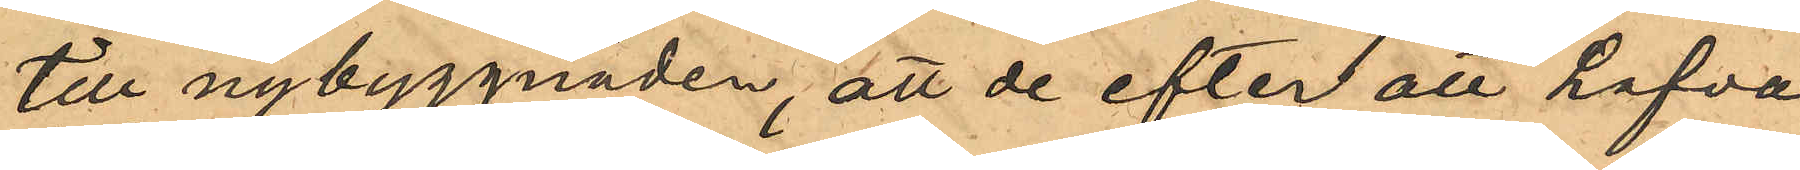till nybyggnaden, att de efter att hafva
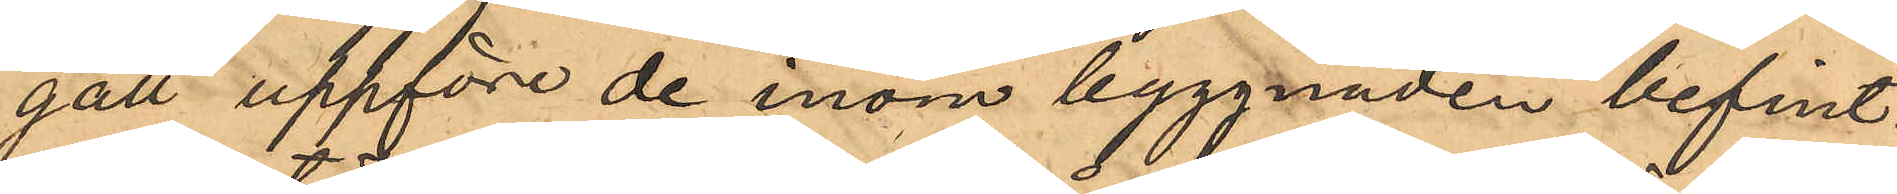gått uppföre de inom byggnaden befint¬
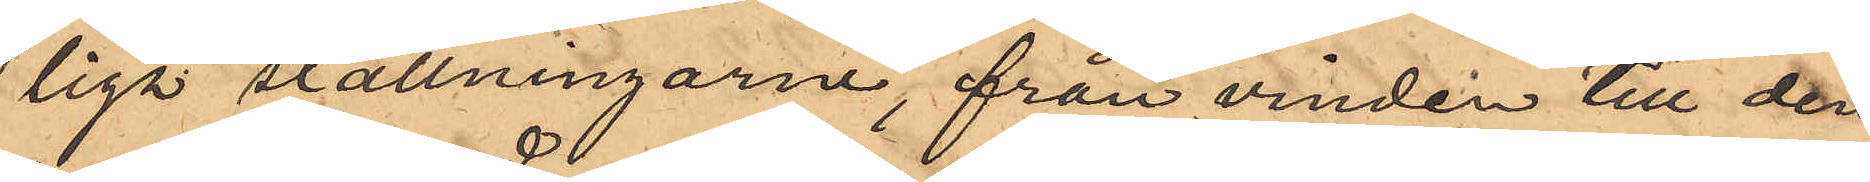liga ställningarne, från vinden till den¬
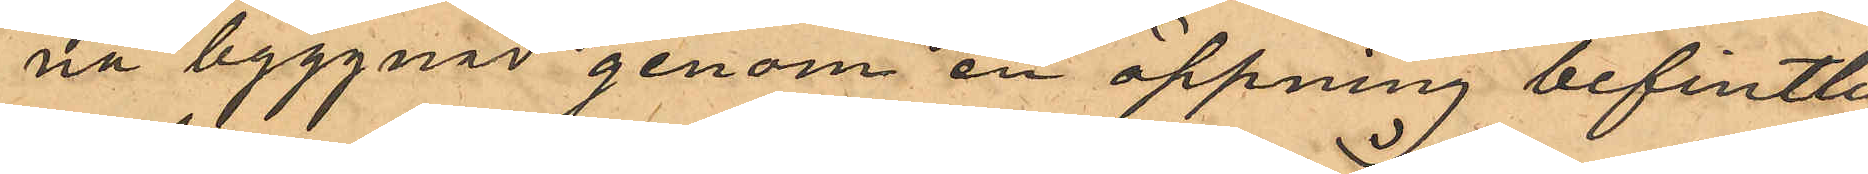na byggnad genom en öppning befintlig
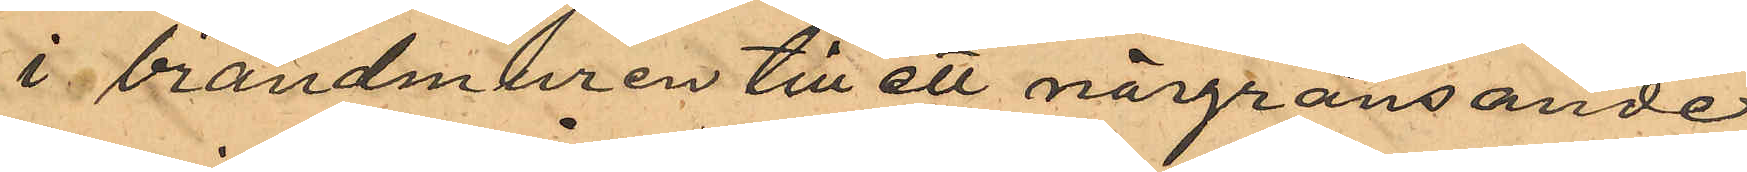i brandmuren till ett närgränsande
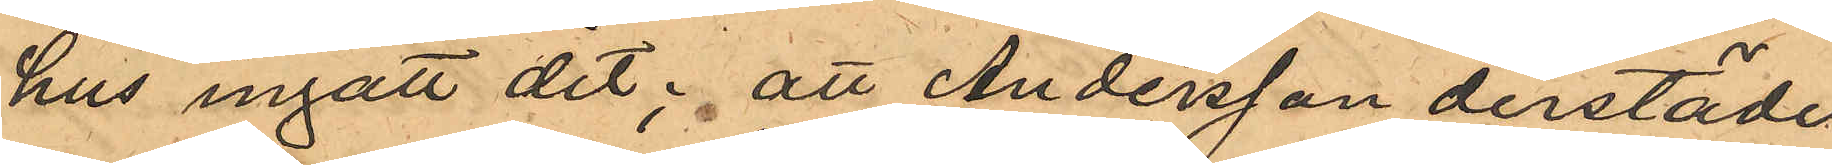hus ingått dit; att Andersson derstädes
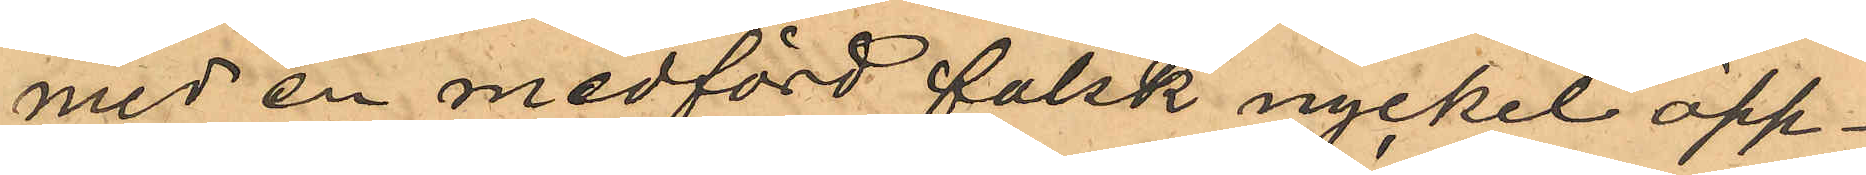med en medförd falsk nyckel öpp¬
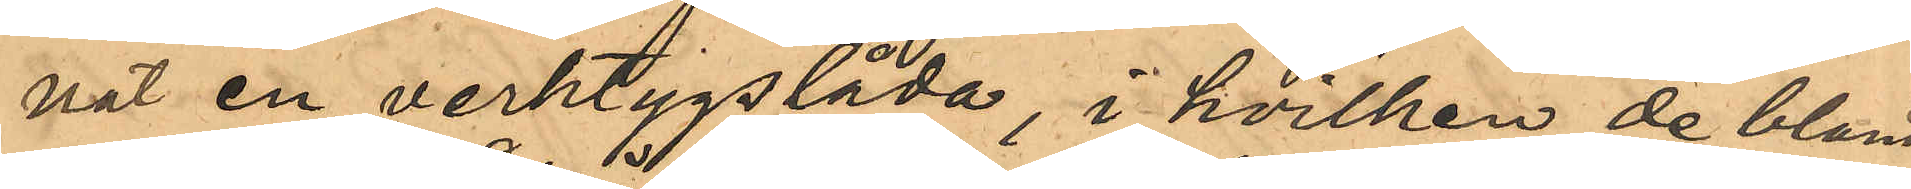nat en verktygslåda, i hvilken de bland
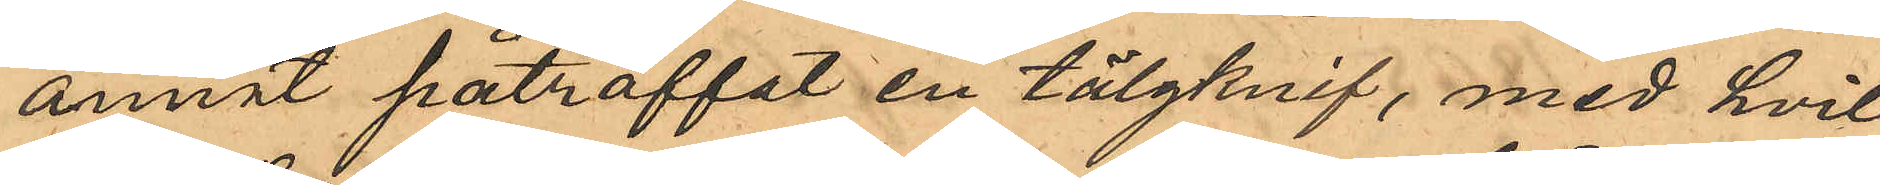annat påträffat en tälgknif, med hvil¬
